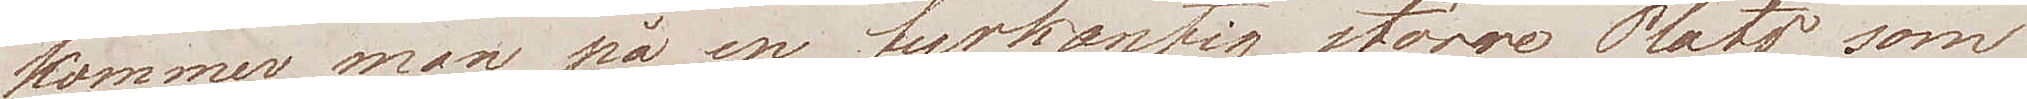kommer man på en fyrkantig större Plats som
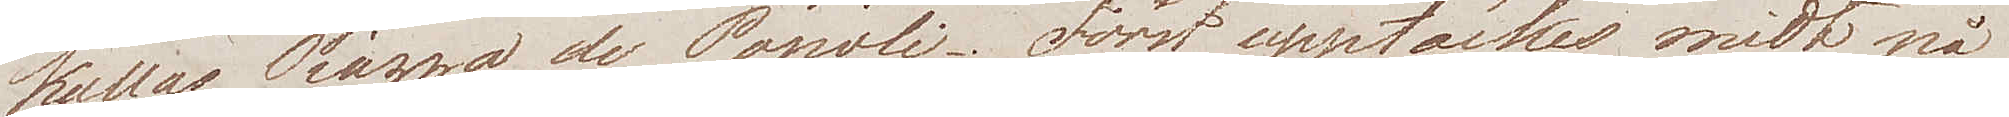kallas Piazza de Popoli. Först upptäckes midt på
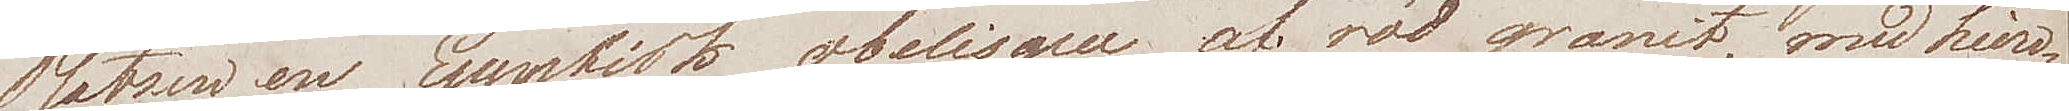Platsen en Egyptisk obelisque af röd granit, med hiero¬
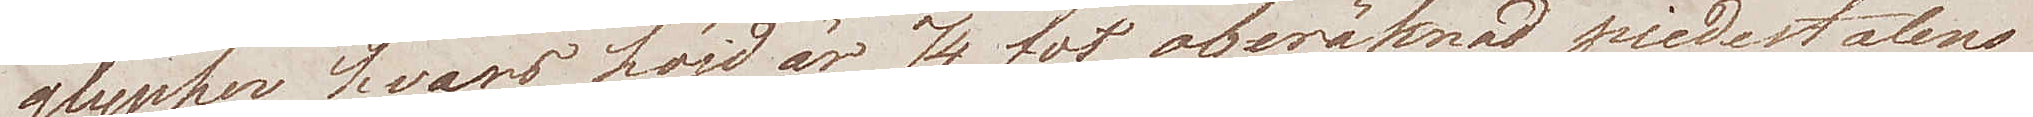glypher, hvars höjd är 74 fot oberäknad piedestalens
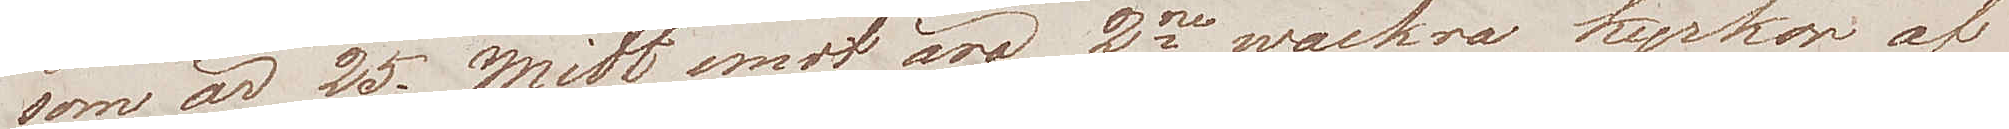som är 25; Midt emot äro 2ne wackra kyrkor af
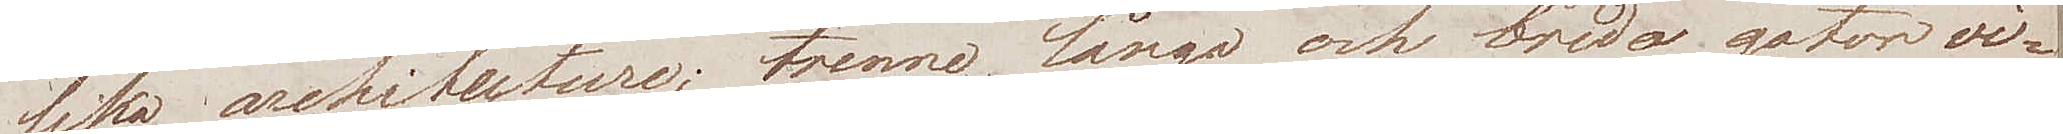lika arkitecture; tvenne långa och breda gator vi¬
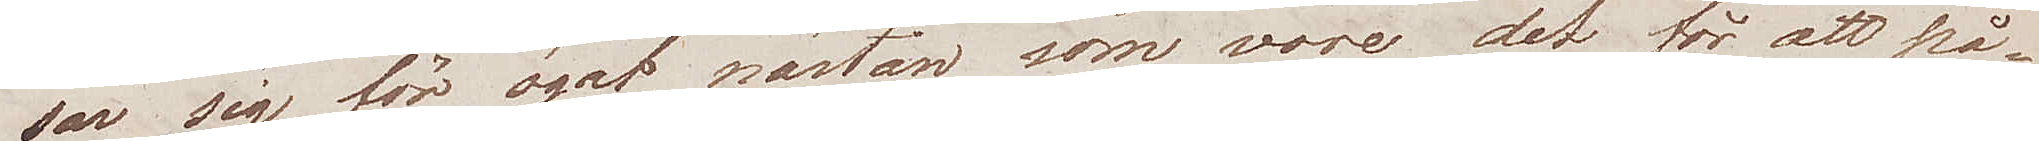sar sig för ögat, nästan som vore det för att på¬
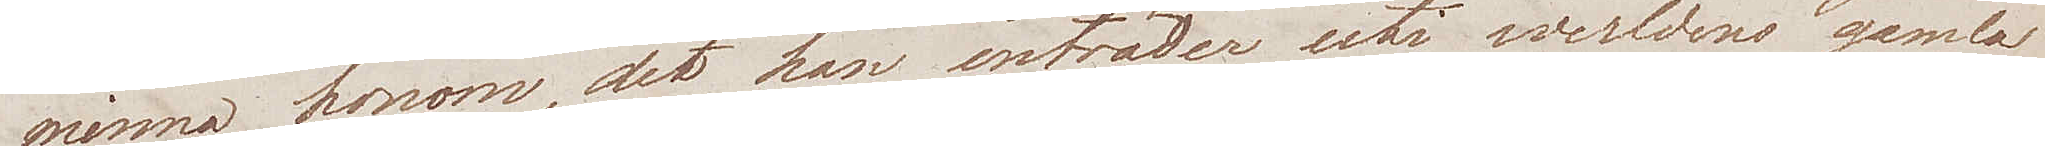minna honom, det han inträder uti werldens gamla
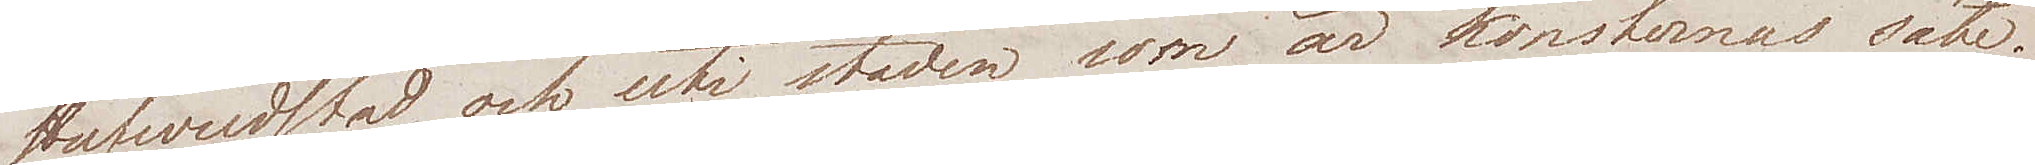Hufvudstad, och uti staden som är konsternas säte.
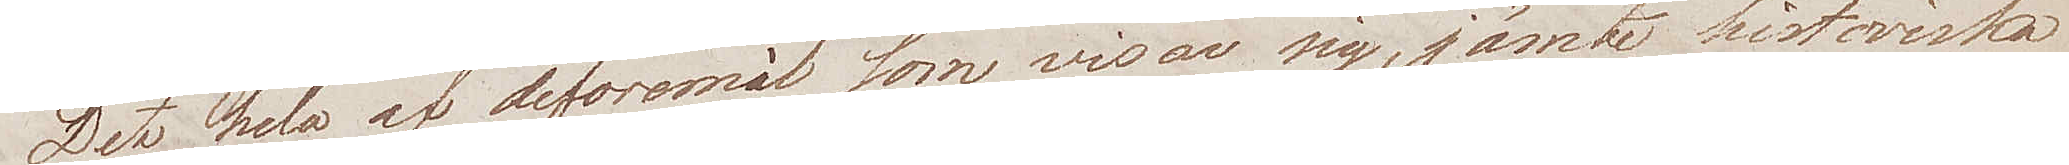Det hela af de föremål som visar sig, jämte historiska
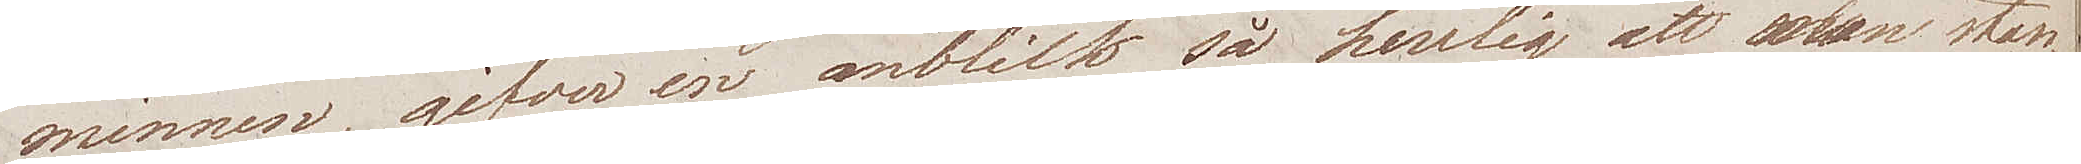minnen, gifver en anblick så herrlig att man stan¬
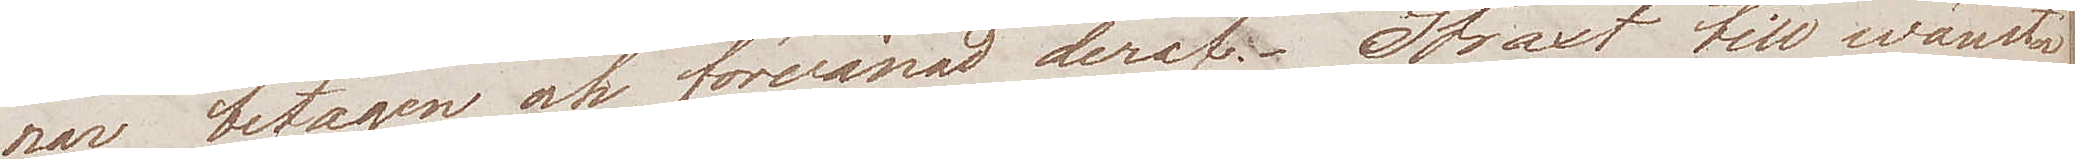nar betagen och förvånas deraf. Straxt till wänster
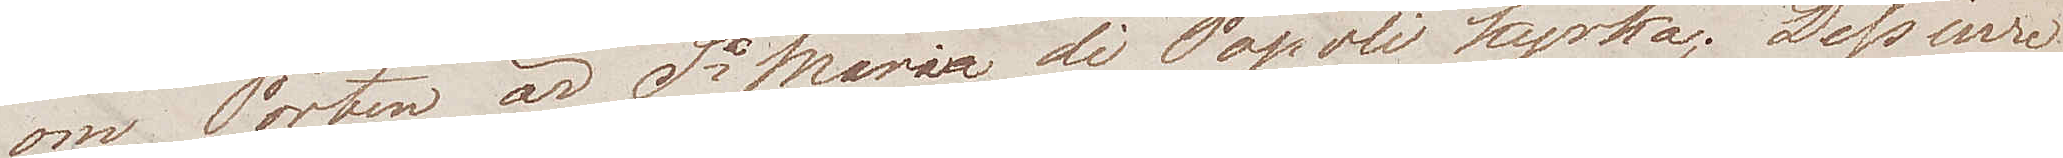om Porten är Sa Maria di Popoli kyrka; Dess inre
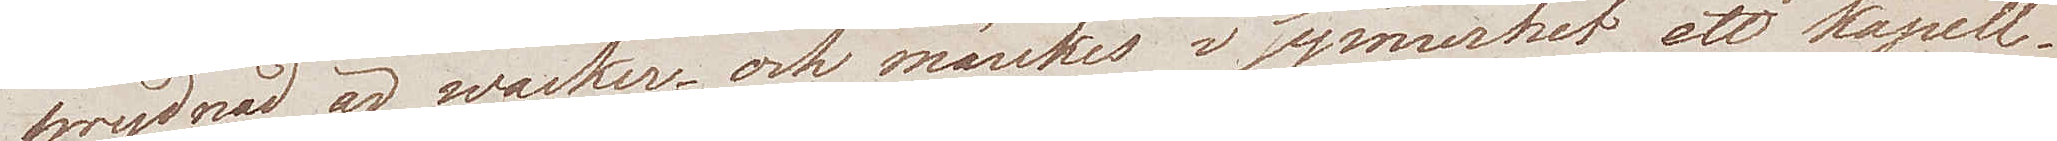prydnad är wacker; och märkes i synnerhet ett kapell,
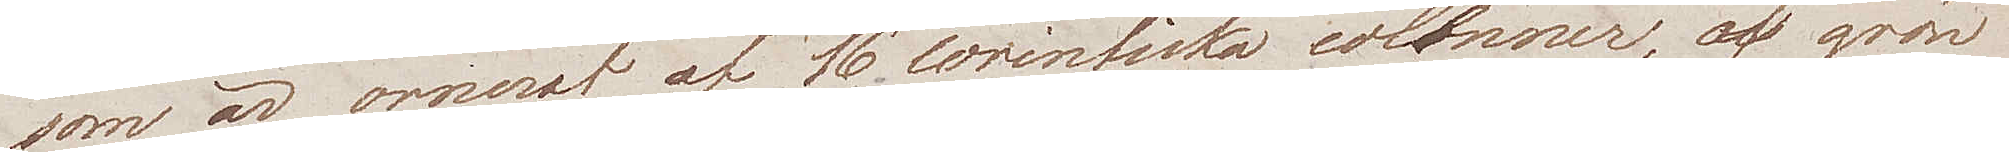som är ornerat af 16 corintiska colonner, af grön
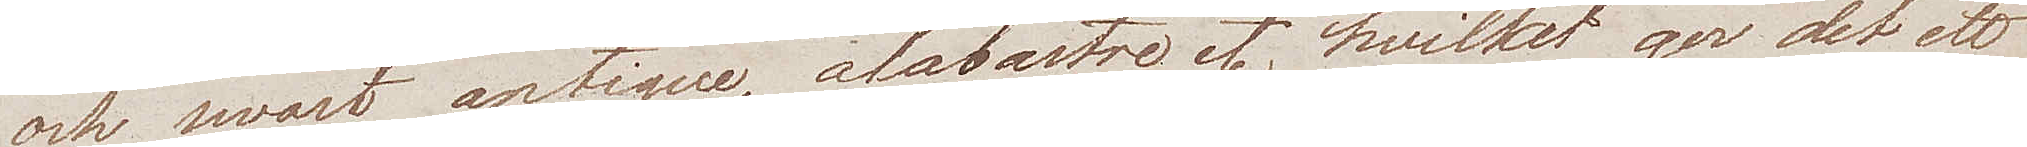och swart antique alabastre etc hvilket ger det ett
